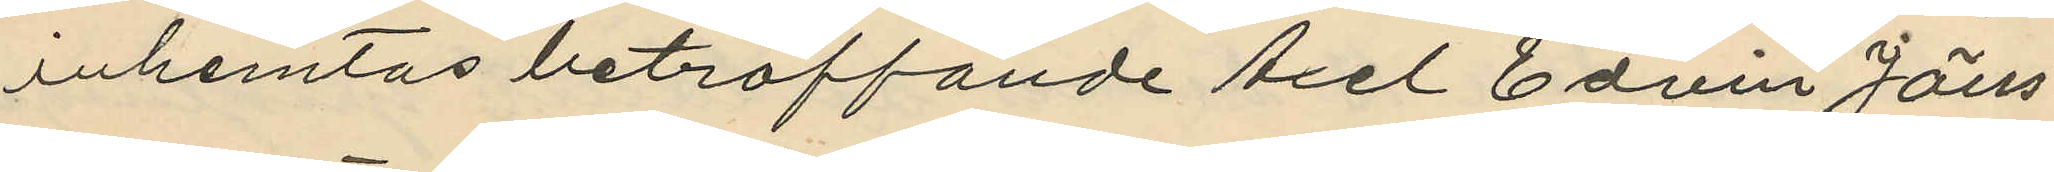inhemtas beträffande Axel Edvin Jöns¬
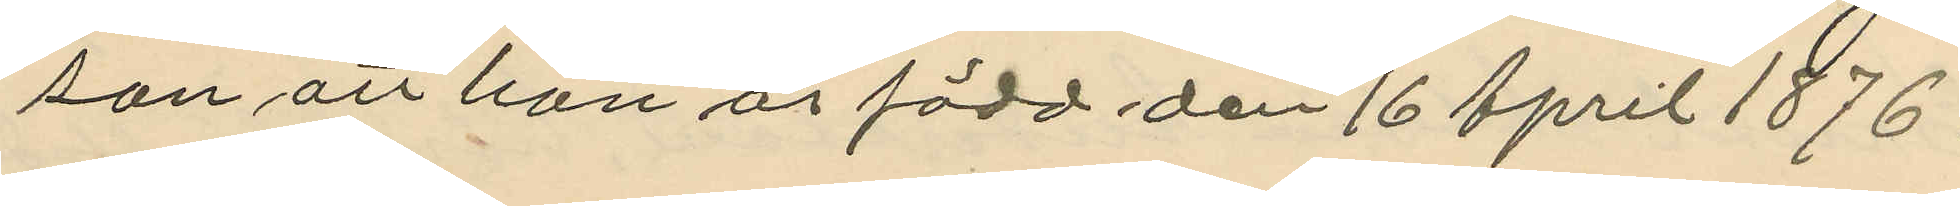son att han är född den 16 April 1876.
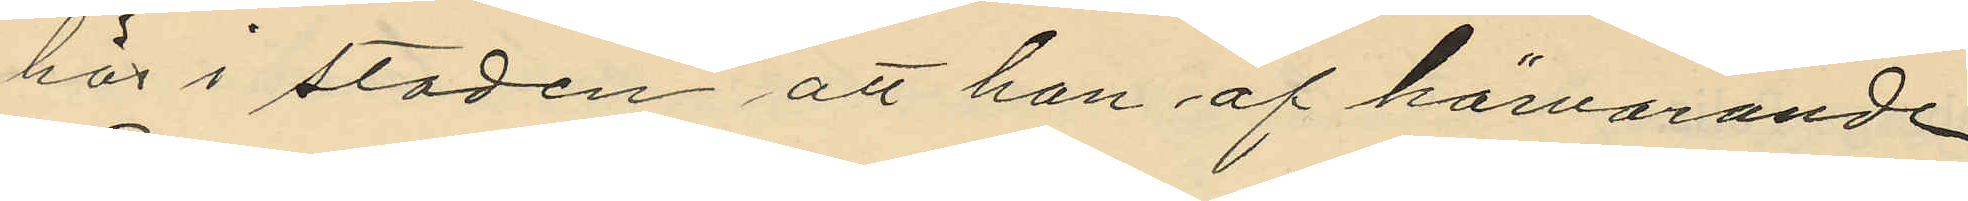här i staden att han af härvarande
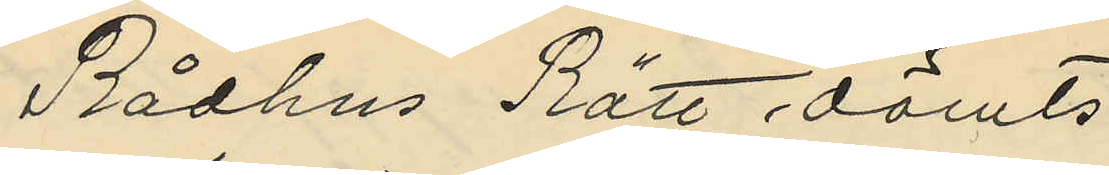Rådhus Rätt dömts
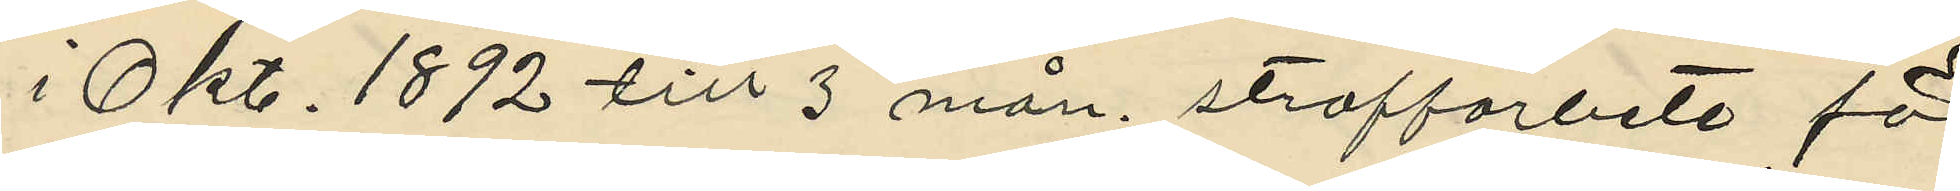i Okt. 1892 till 3 mån. straffarbete för
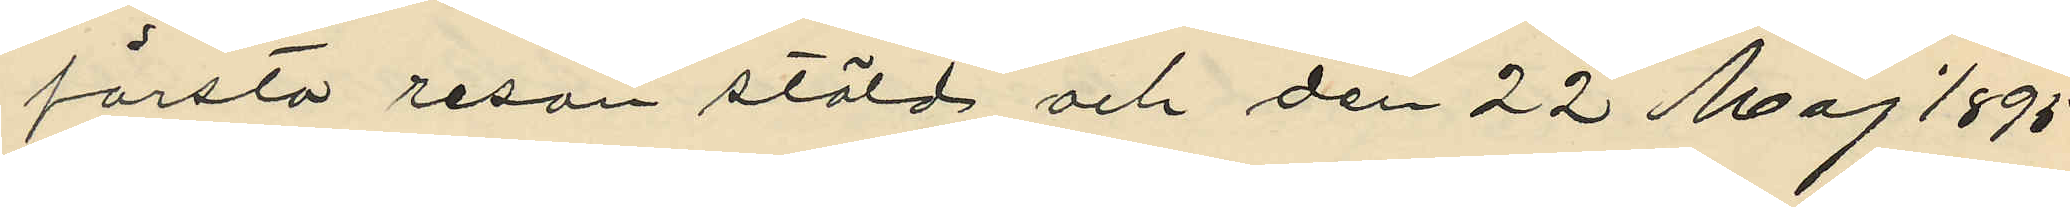första resan stöld och den 22 Maj 1895
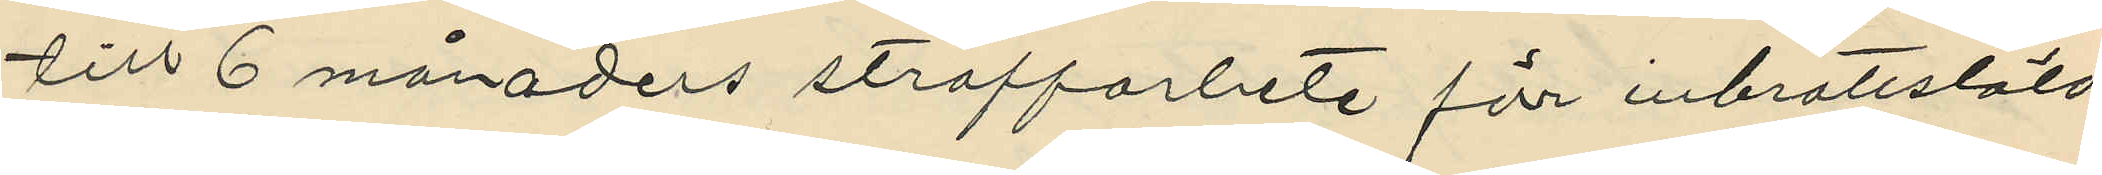till 6 månaders straffarbete för inbrottstöld
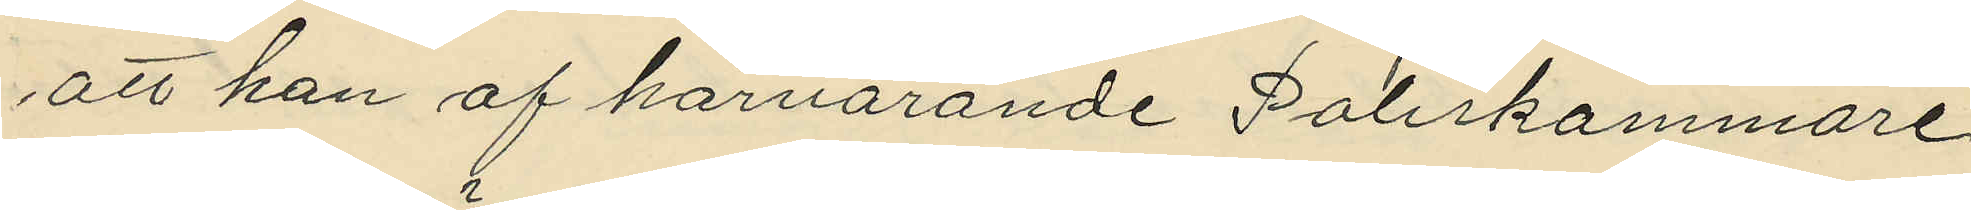att han af härvarande Poliskammare
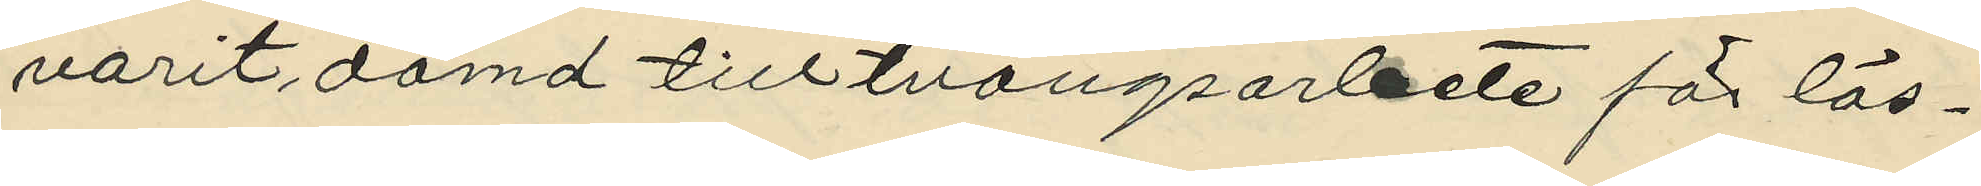varit dömd till tvångsarbete för lös¬
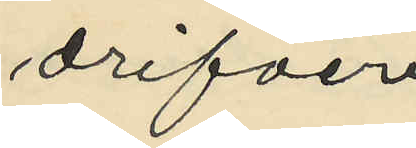drifveri
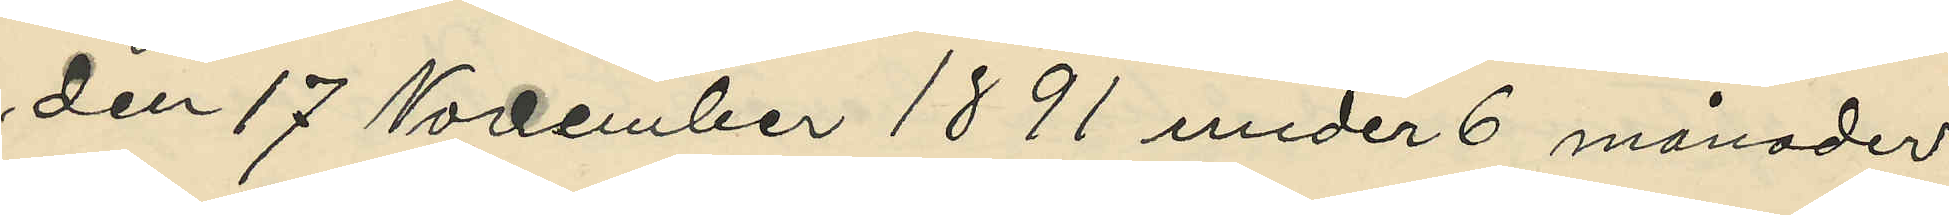den 17 November 1891 under 6 månader
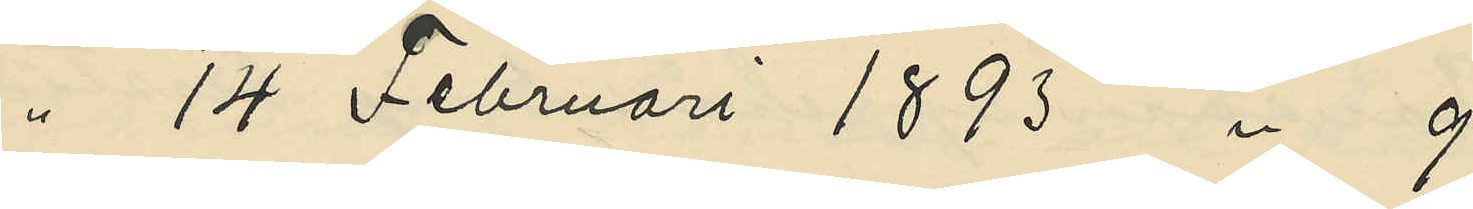" 14 Februari 1893 " 9
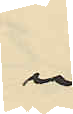"
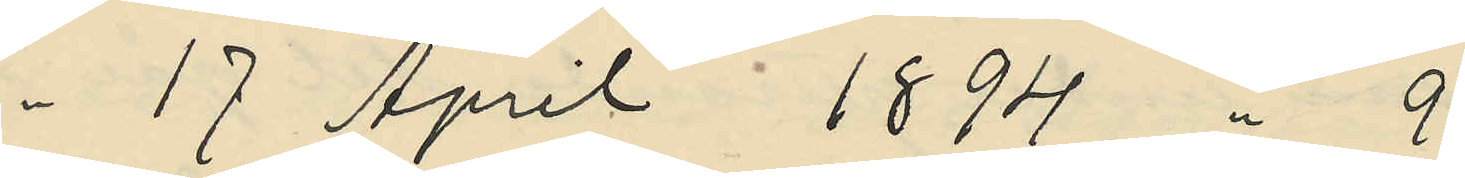" 17 April 1894 " 9
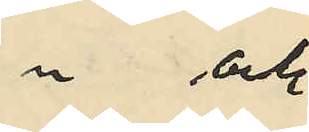" och
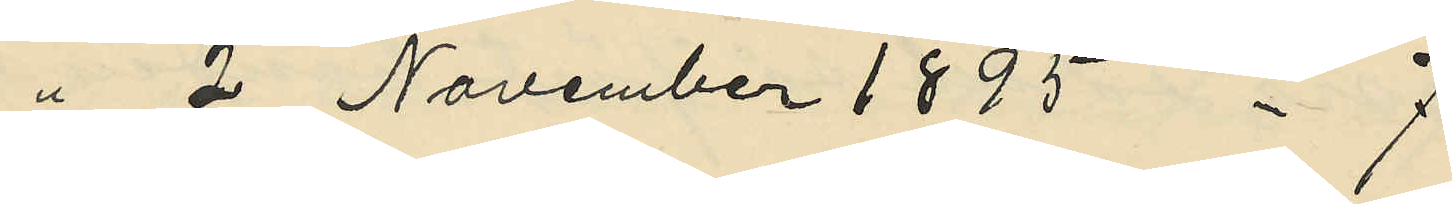" 2 November 1895 " 7
